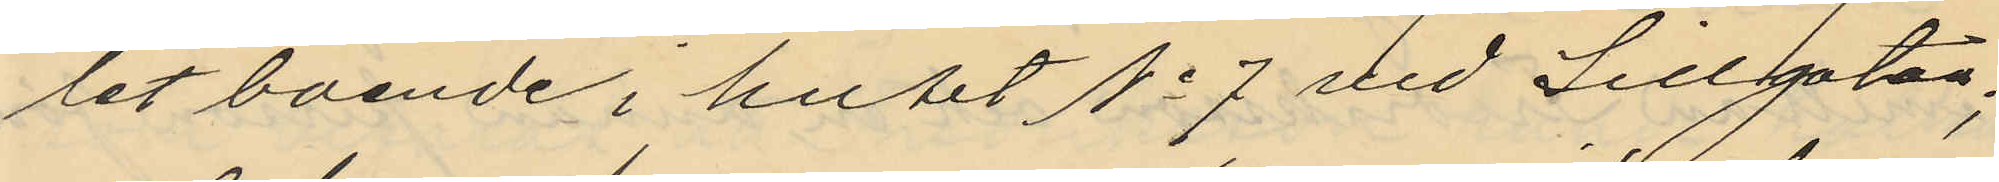let boende i huset No 7 vid Sillgatan;
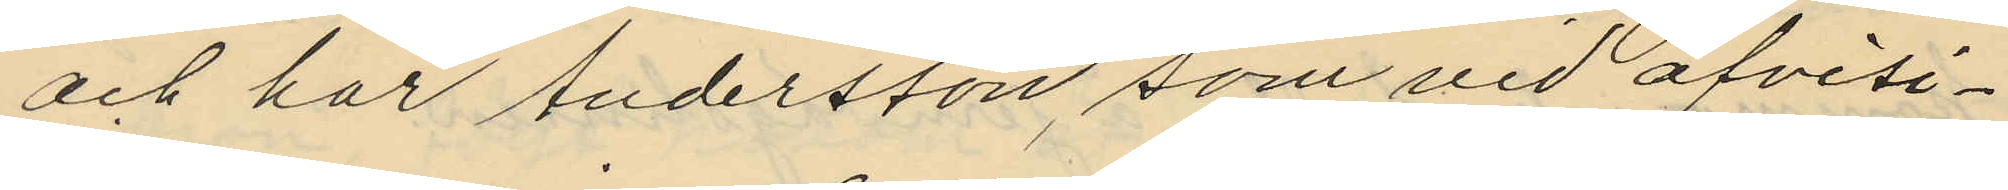och har Andersson som vid afvisi¬
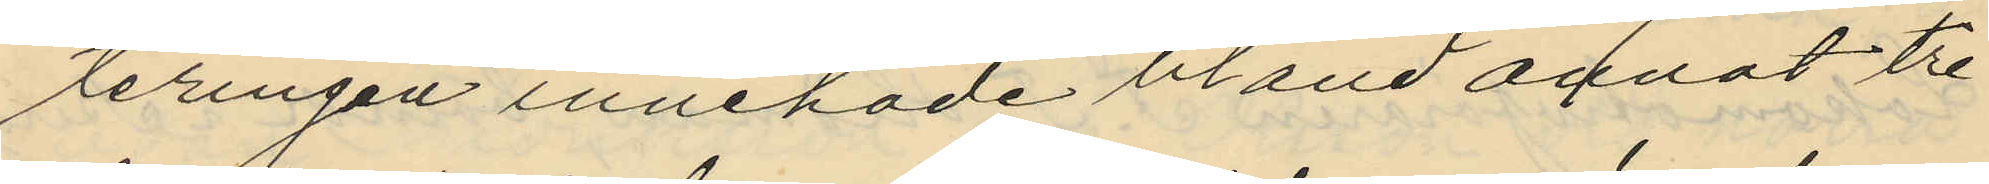teringen innehade bland annat tre
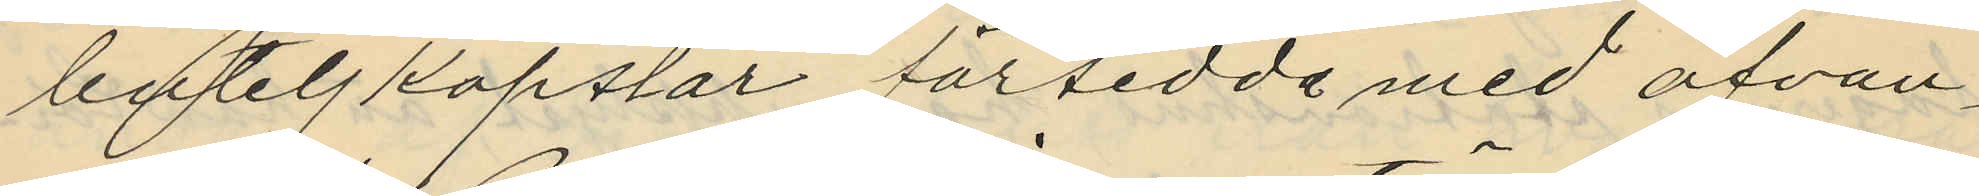buteljkapslar försedde med ofvan¬
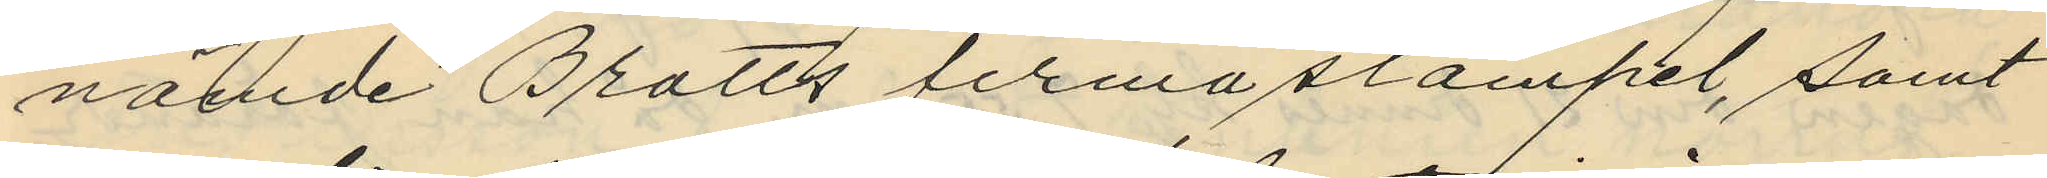nämde Bratts firmastämpel, samt
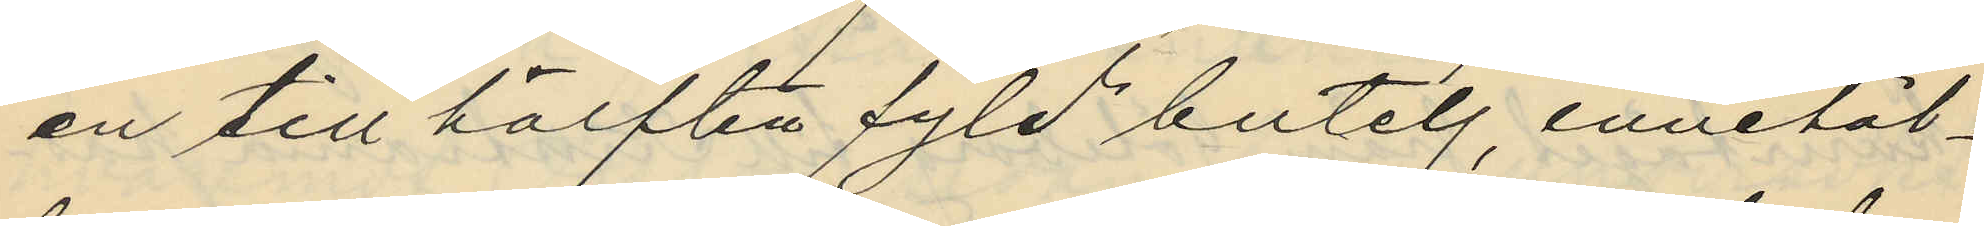en till hälften fyld butelj, innehål¬
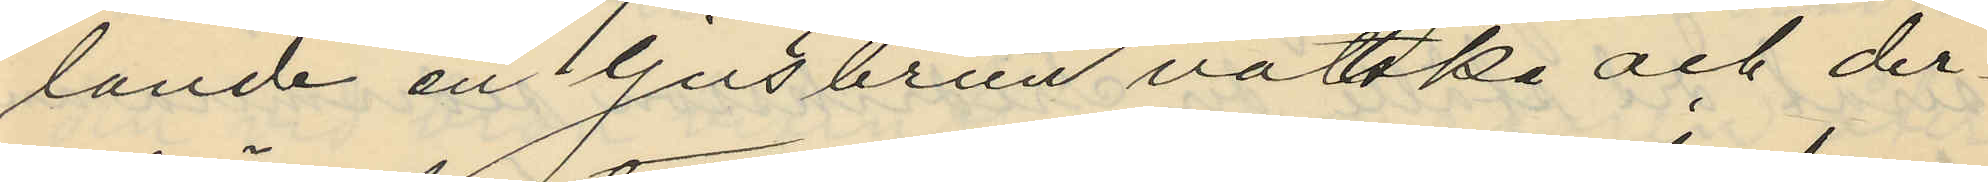lande en ljusbrun vättska och der¬
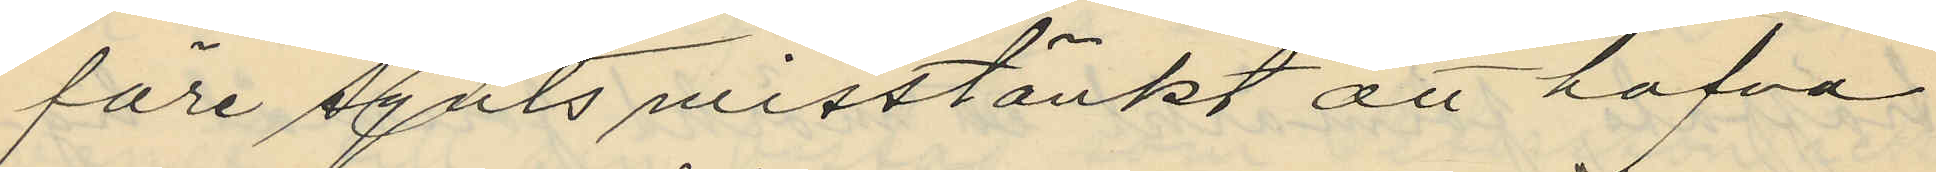före synts misstänkt att hafva
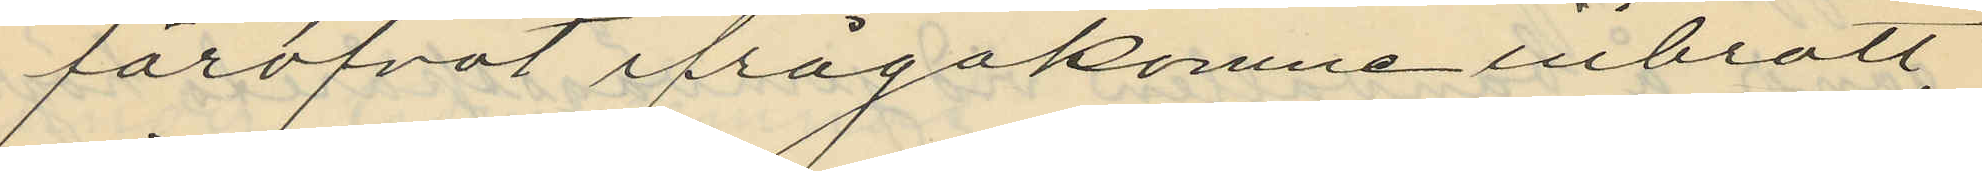föröfvat ifrågakomne inbrott,
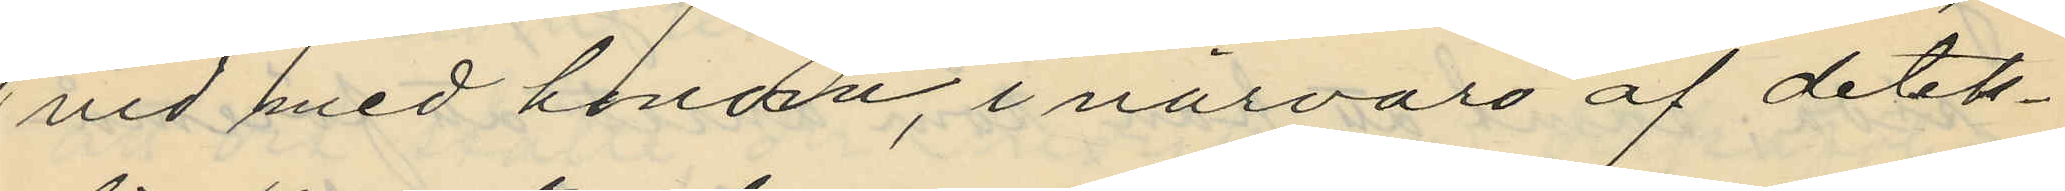vid med honom, i närvaro af detek¬
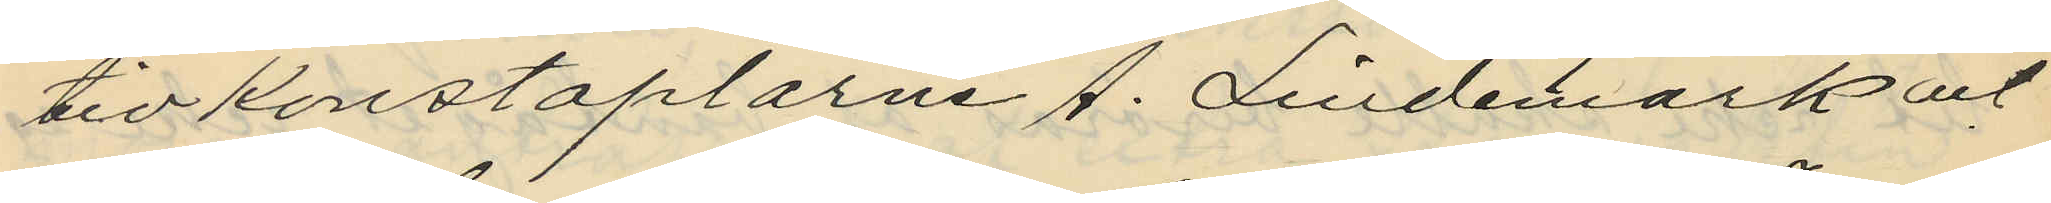tivkonstaplarne A. Lindemark och
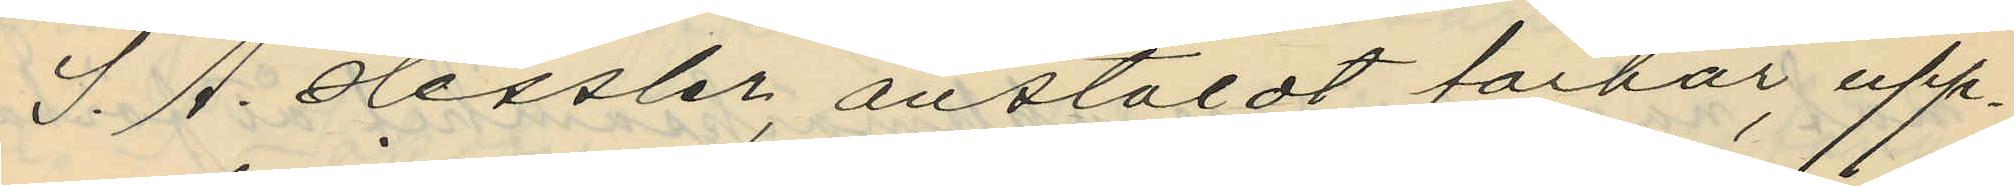S. A. Hessler, anstäldt förhör, upp¬
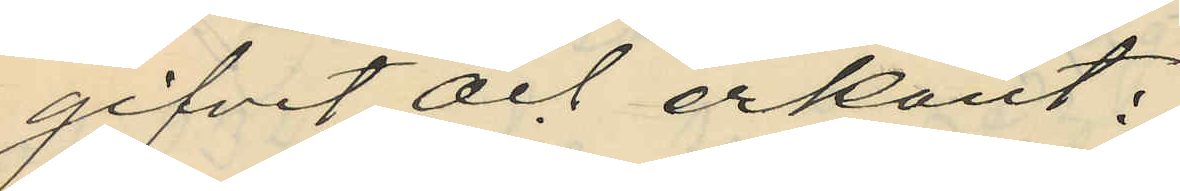gifvit och erkänt:
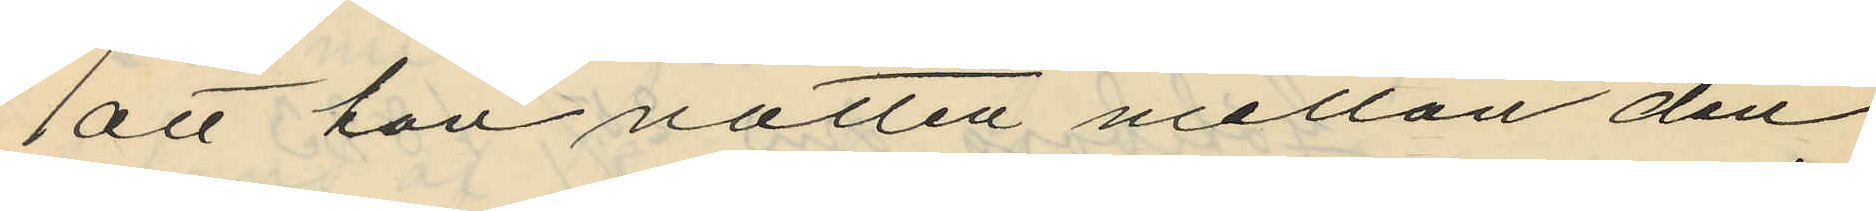att han natten mellan den
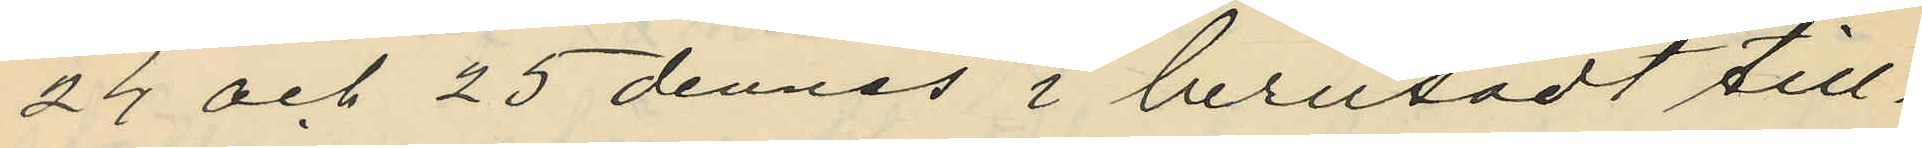24 och 25 dennes i berusadt till¬
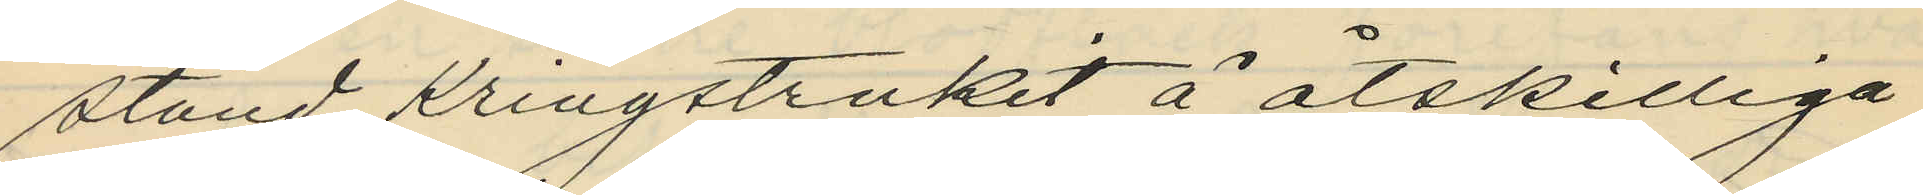stånd kringstrukit å åtskilliga
